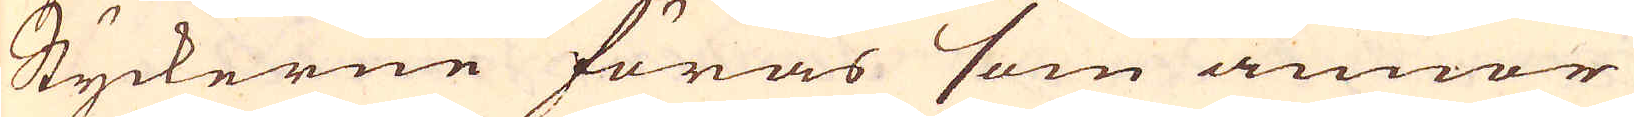Styckerne föras som annor
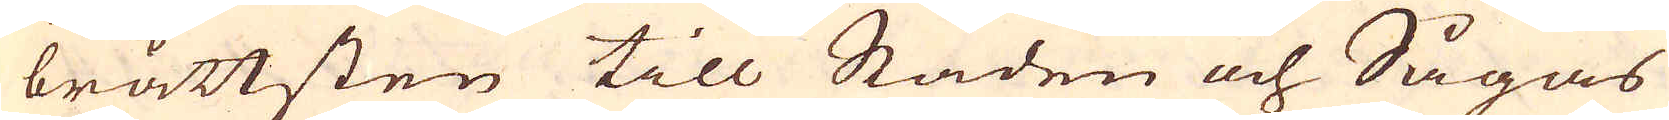bråttsten till Staden och Sågas
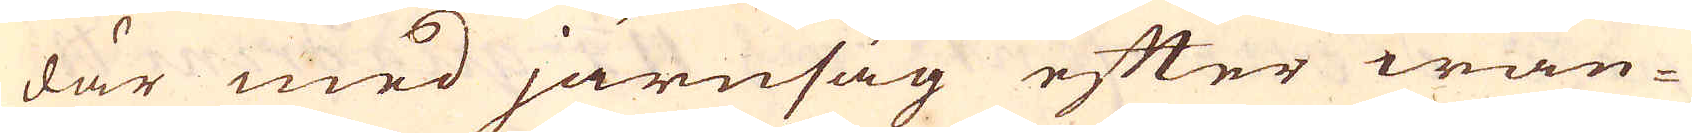där med järnsåg efter wan-
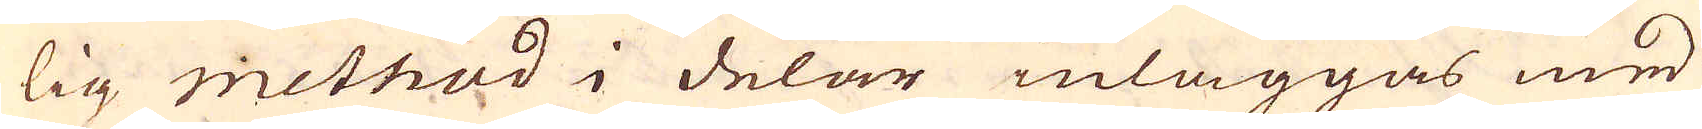lig method i delar inläggas med
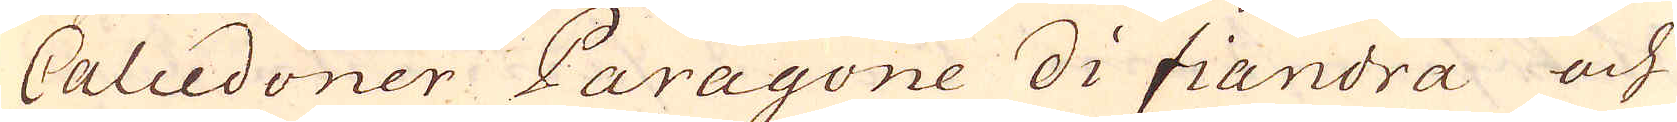Calcedoner Paragone di fiandra och
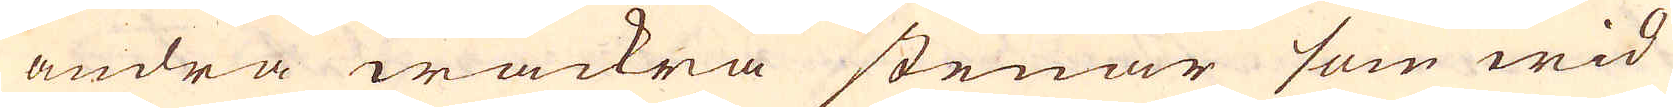andra wackra stenar som wid
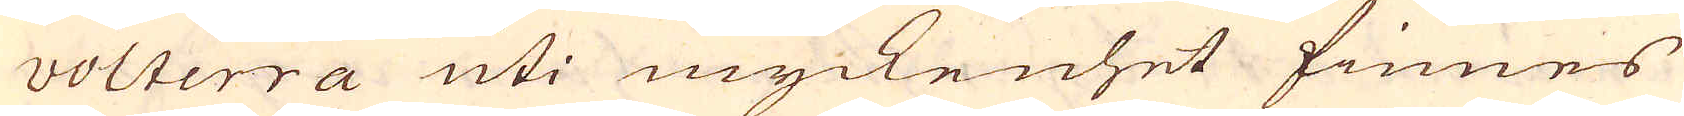volterra uti myckenhet finnes
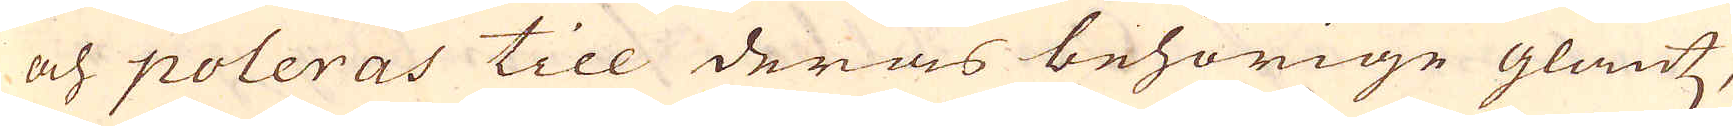och poleras till deras behörige glantz,
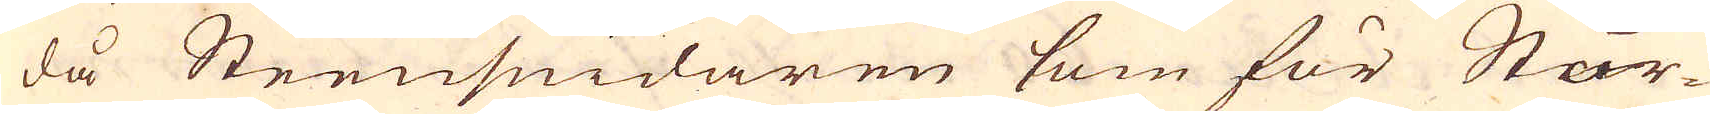då Steensmidaren som för Stor-
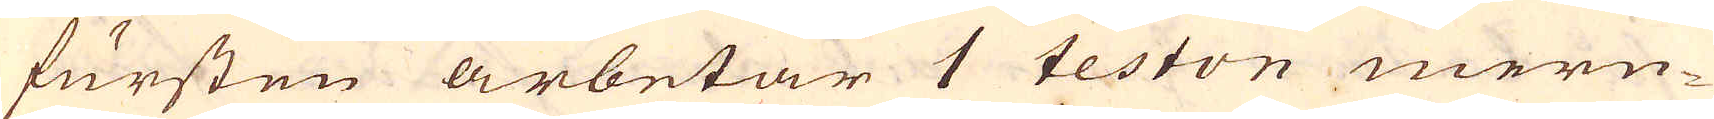fursten arbetar 1 teston mern-
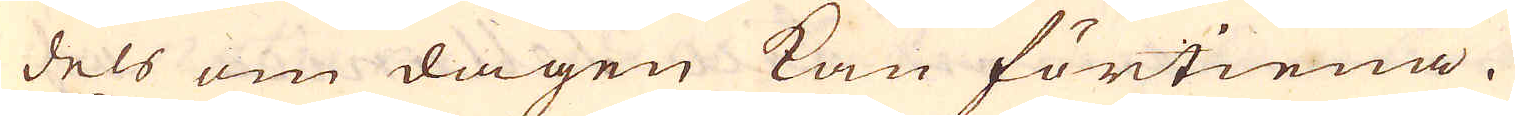dels om dagen kan förtiena.
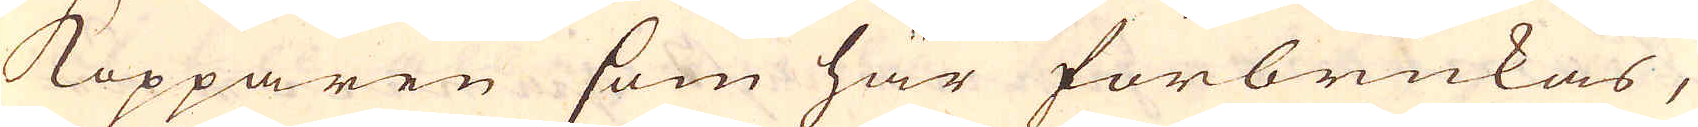Kopparen som här förbrukas,
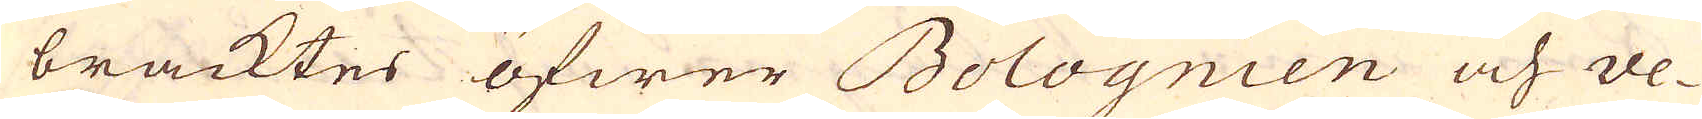bracktes öfwer Bolognien och ve-
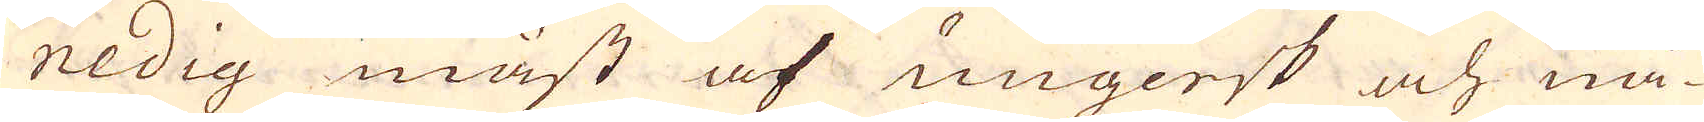nedig mäst af ungersk och nå-
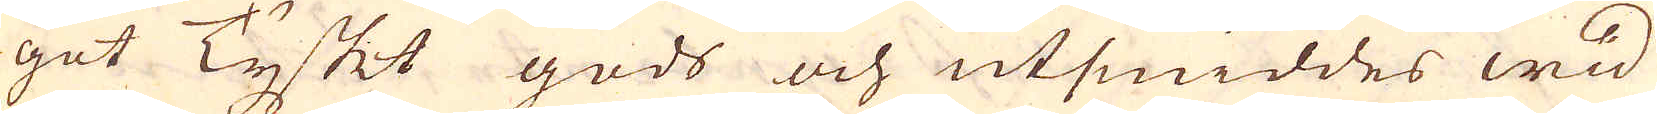got Tyskt gods och utsmiddes wid
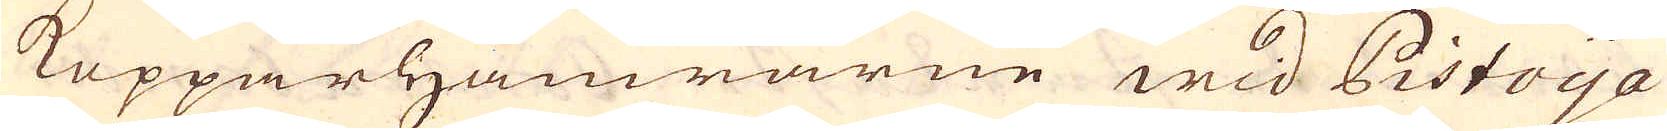Kopparhamrarne wid Pistoya
